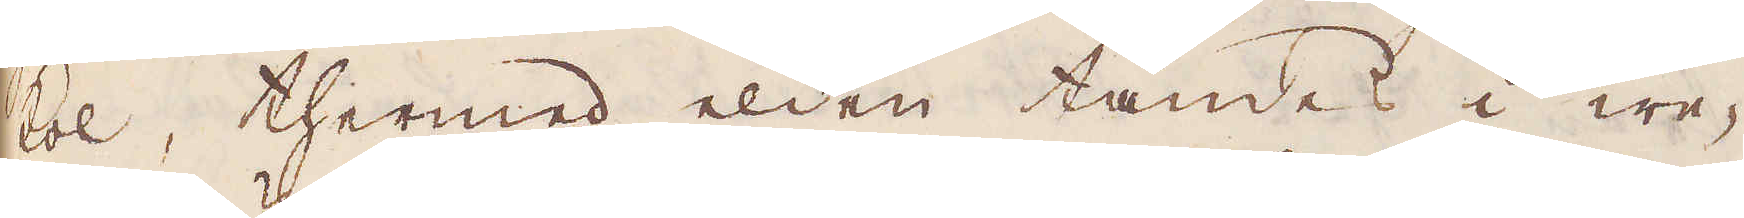kol, thermed elden tändes i we-
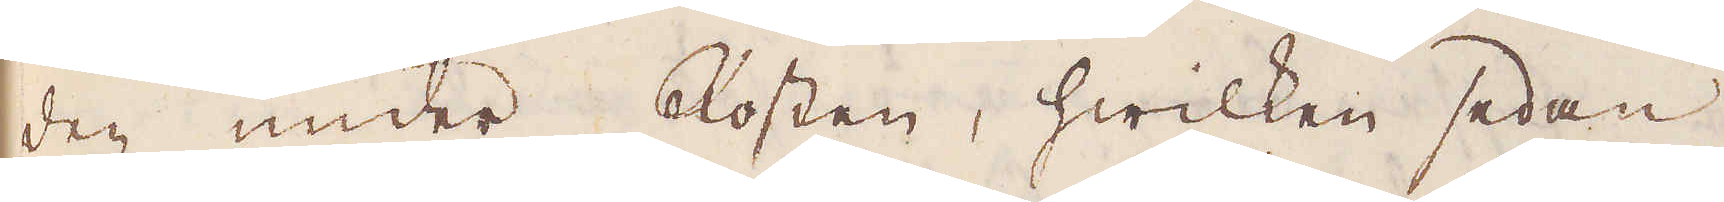den under Rosten, hwilken sedan
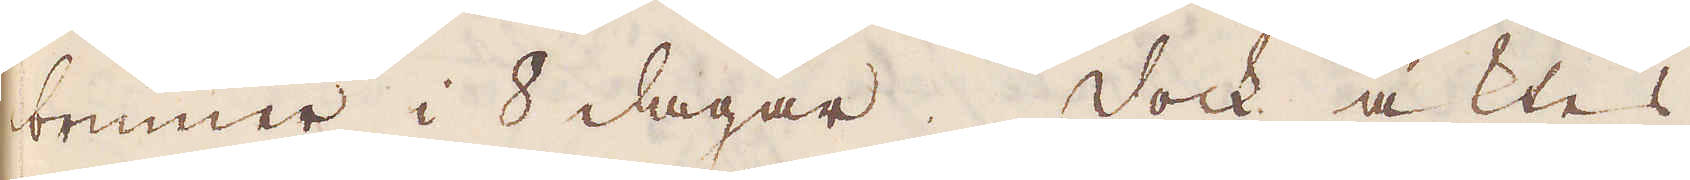brinner i 8 dagar. Dock aktes
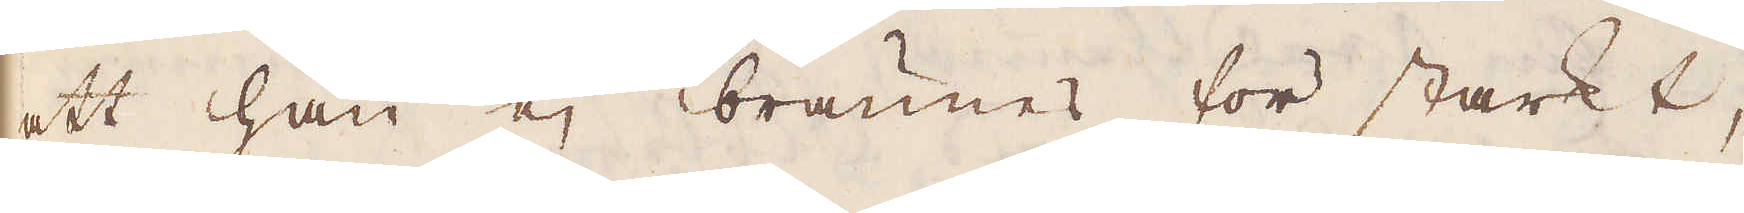att han ej brännes för starkt,
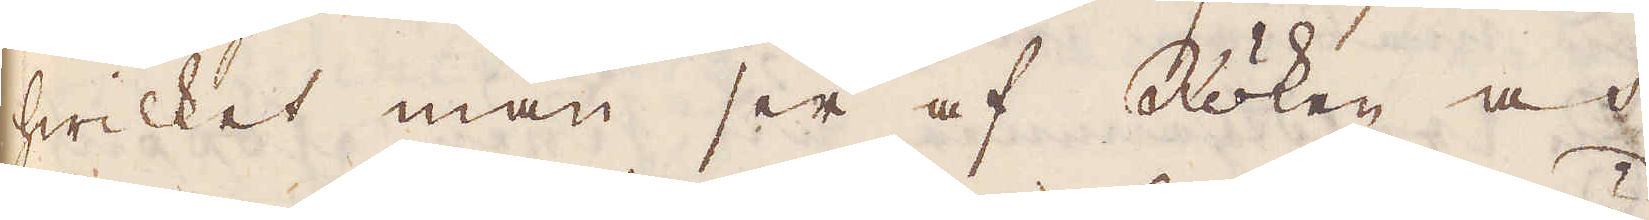hwilket man ser af Röken och
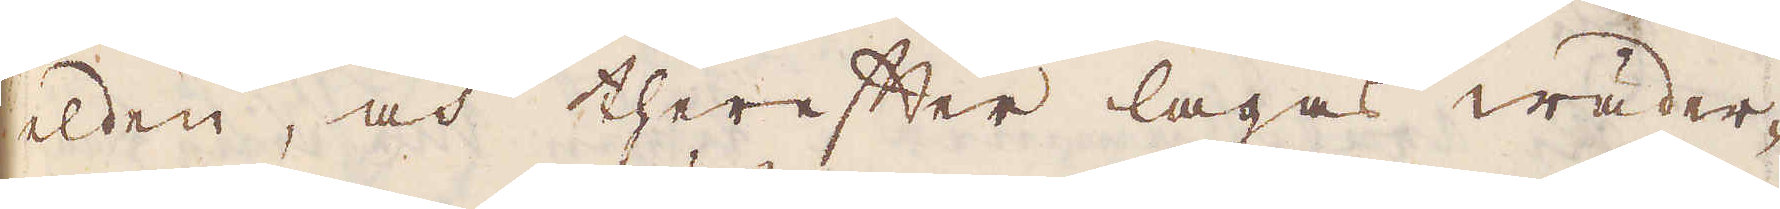elden, och therefter lagas wäder-
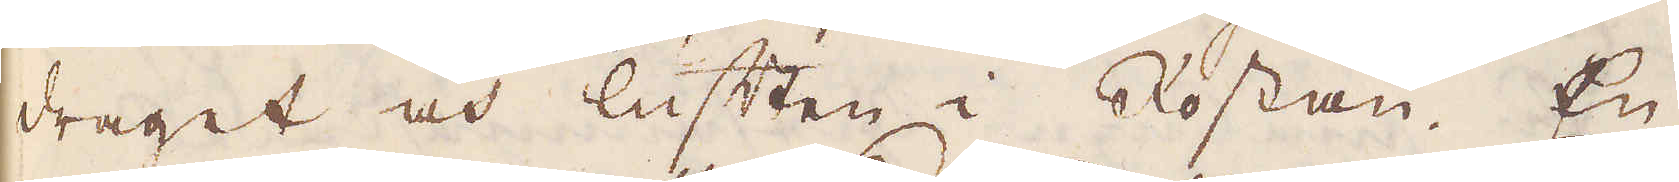draget och luften i Rostan. En
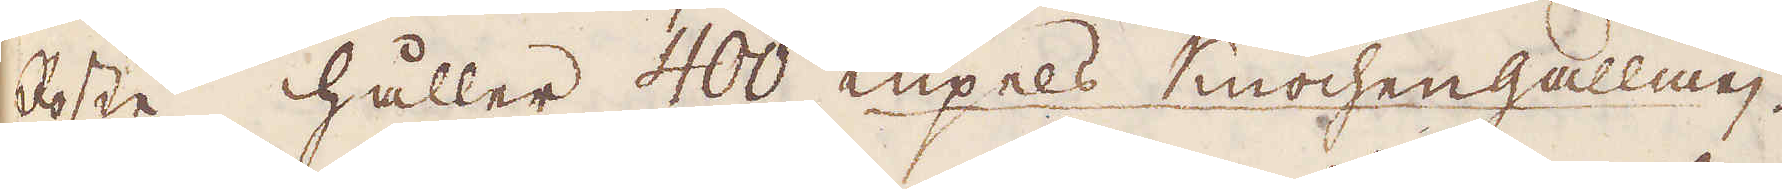Roste håller 400 Küpels Knochengallmej.
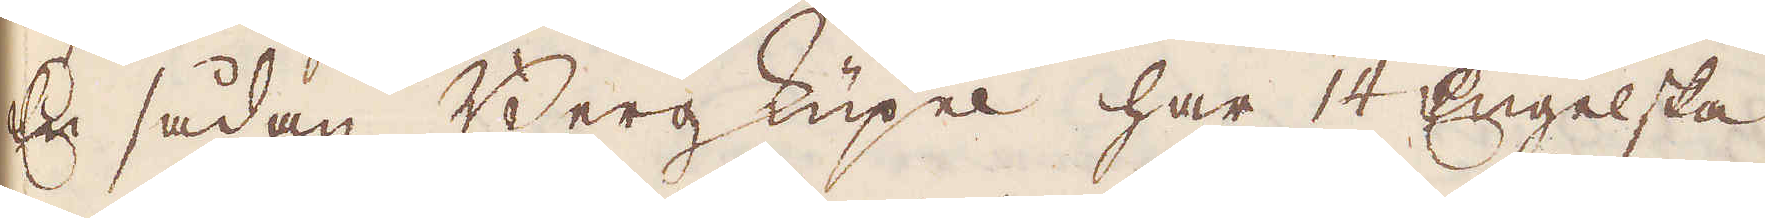En sådan Bergs Kupel har 14 Engelska
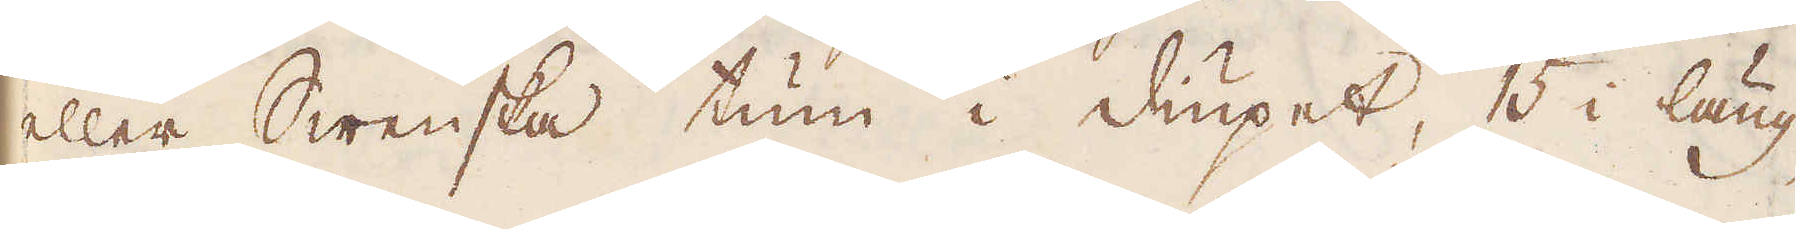eller Swenska tum i diupet, 15 i läng-
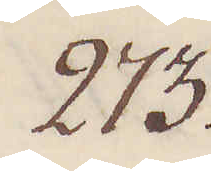273.
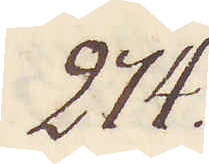274.
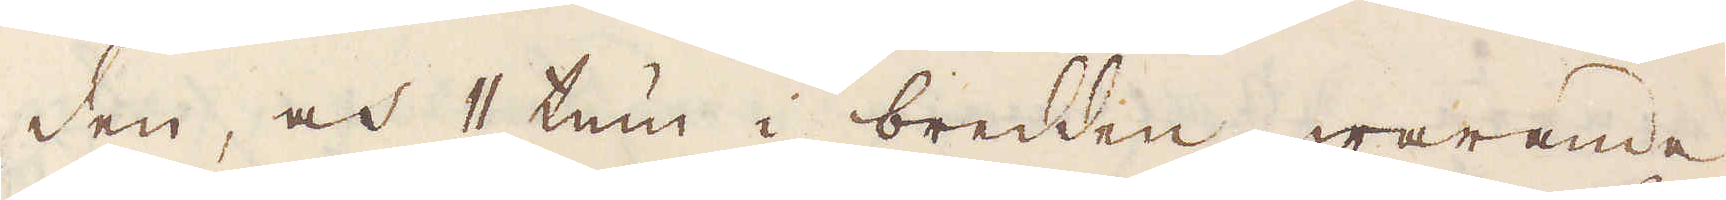den, och 11 tum i bredden, warande
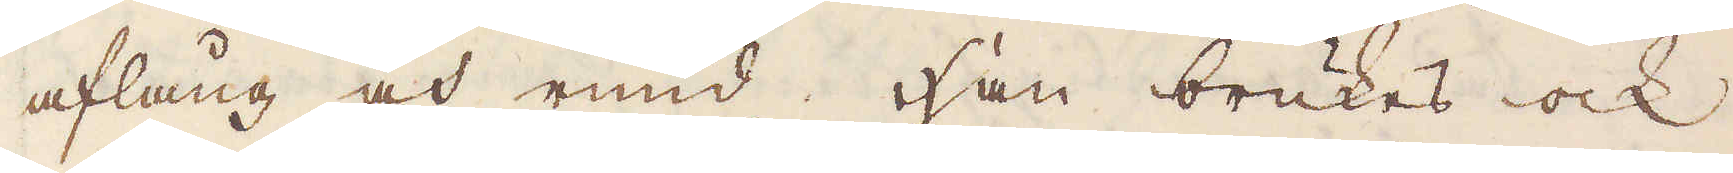aflång, och rund. Han brukes ock
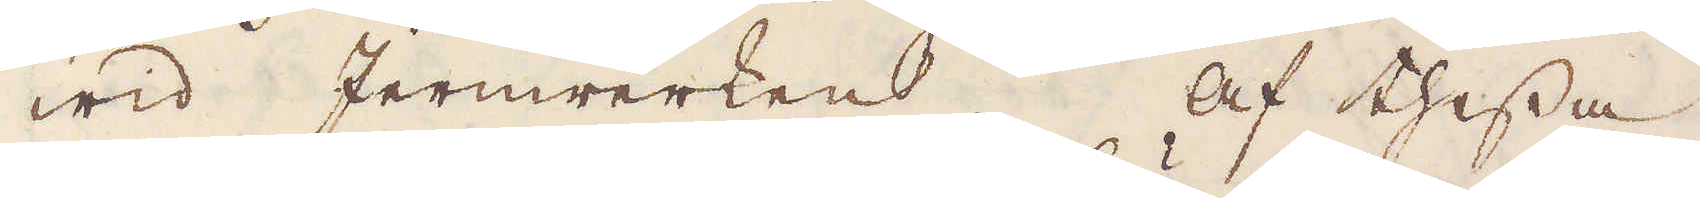wid Jernerken. Af thessa
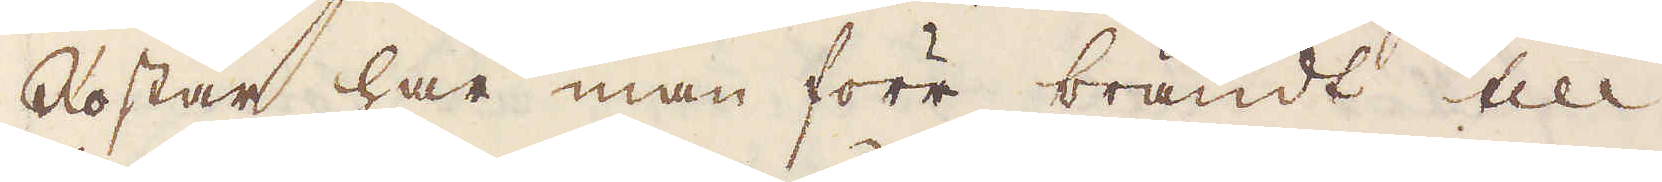Rostar har man förr brändt till
